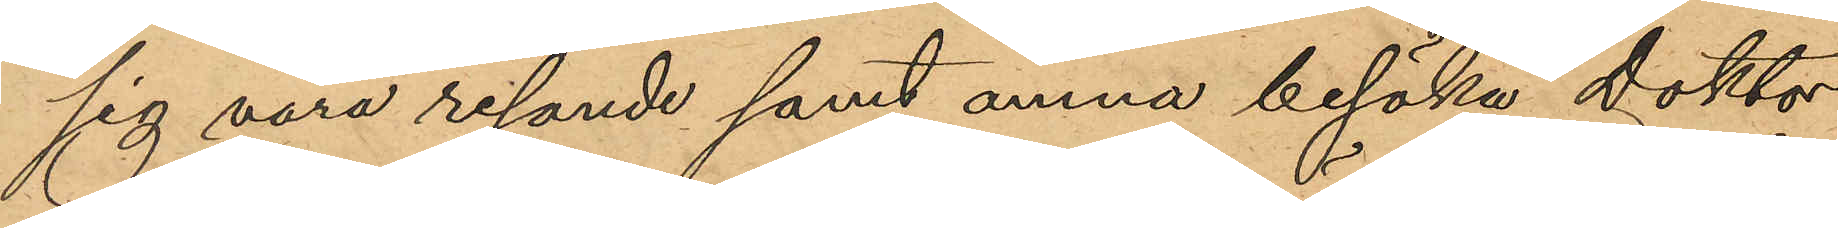sig vara resande samt ämna besöka Doktor
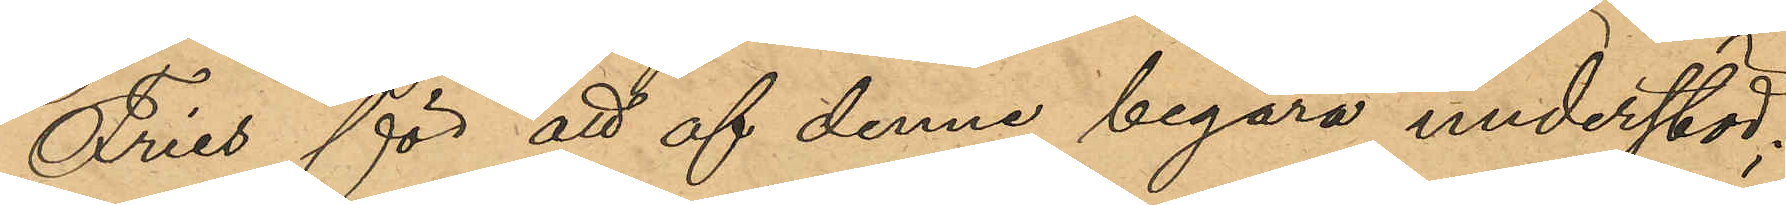Fries för att af denne begära understöd;
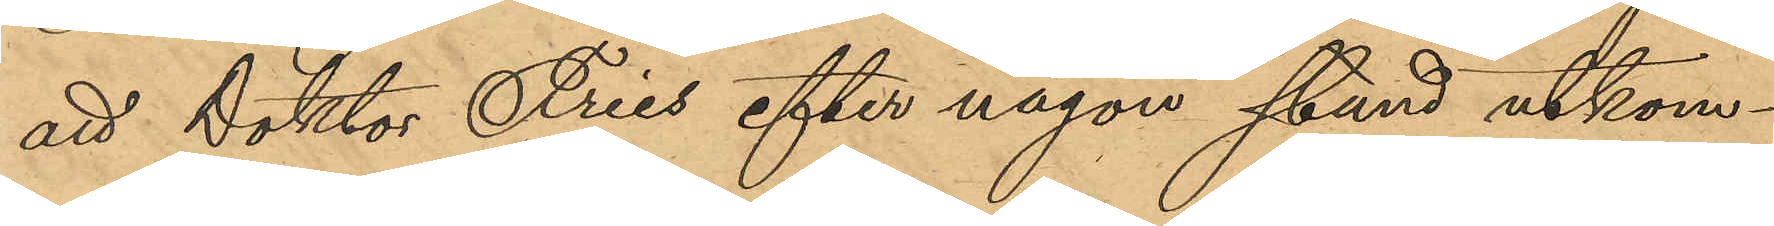att Doktor Fries efter någon stund utkom¬
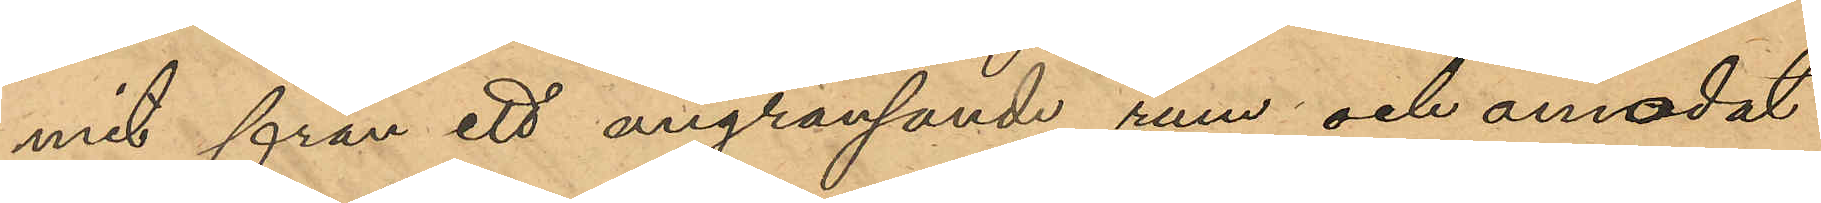mit från ett angränsande rum och anmodat
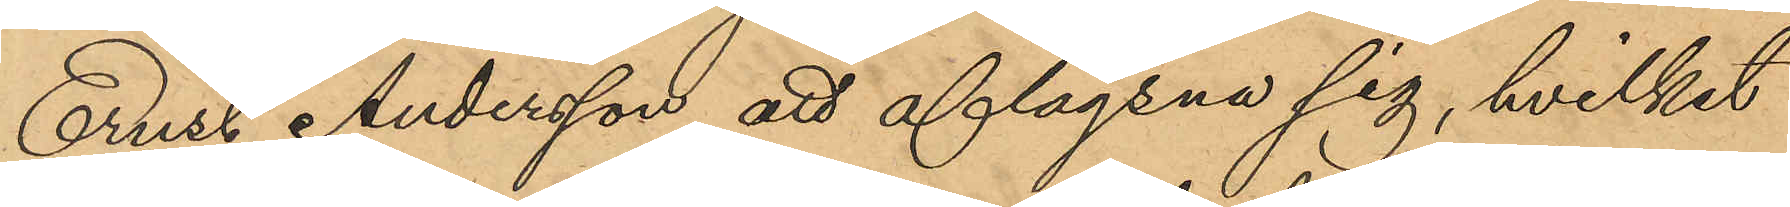Ernst Andersson att aflägsna sig, hvilket
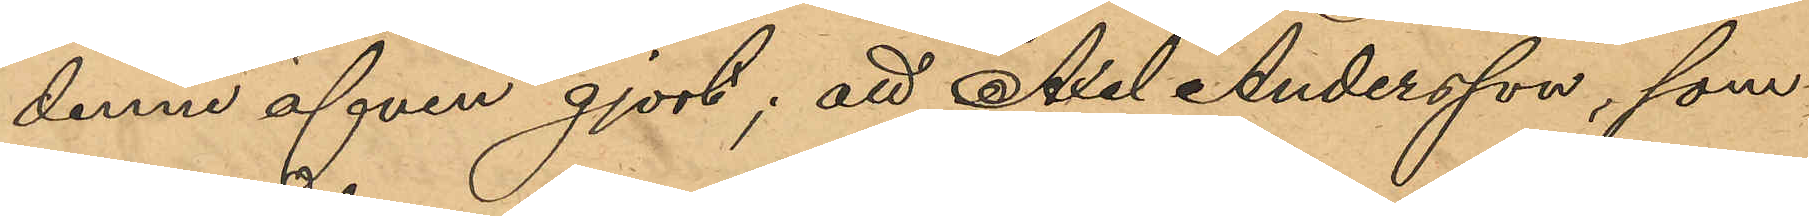denne äfven gjort; att Axel Andersson, som
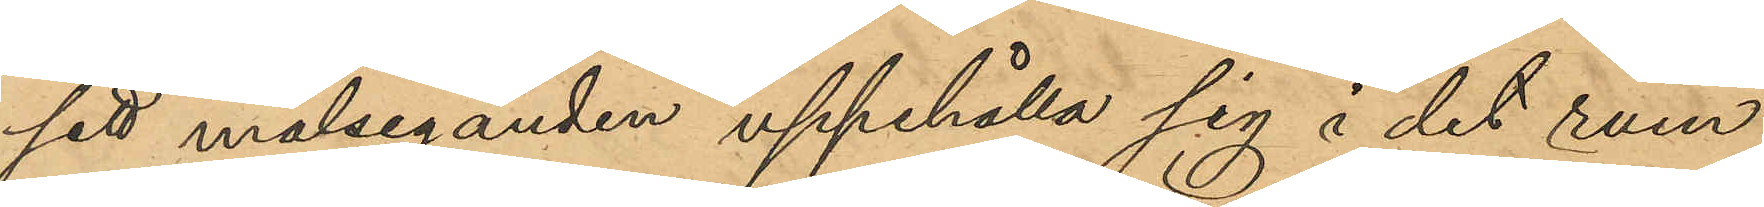sett målseganden uppehålla sig i det rum
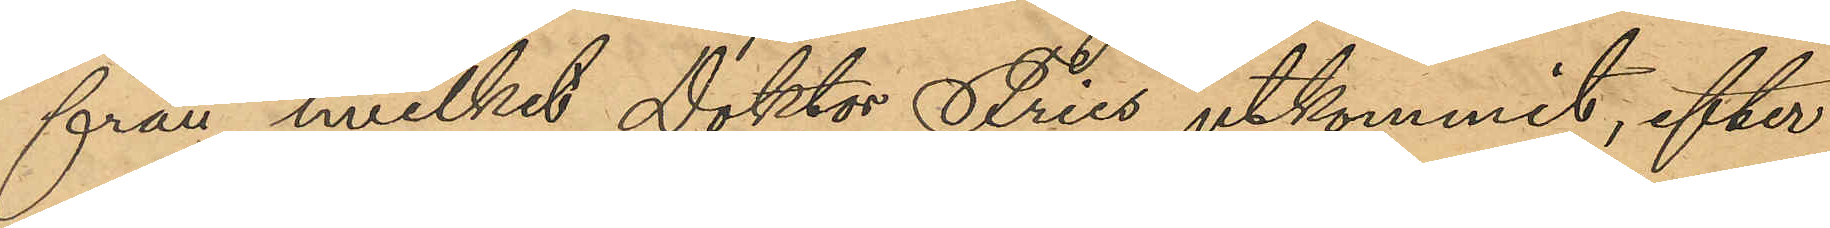från hvilket Doktor Fries utkommit, efter
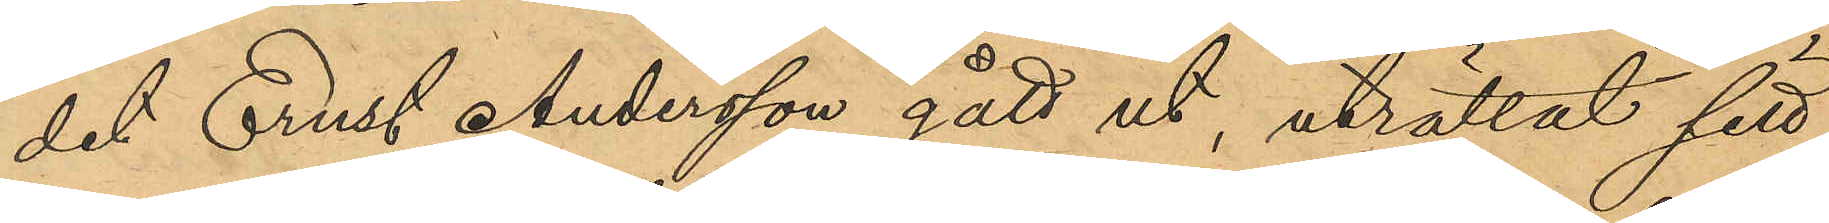det Ernst Andersson gått ut, uträttat sitt
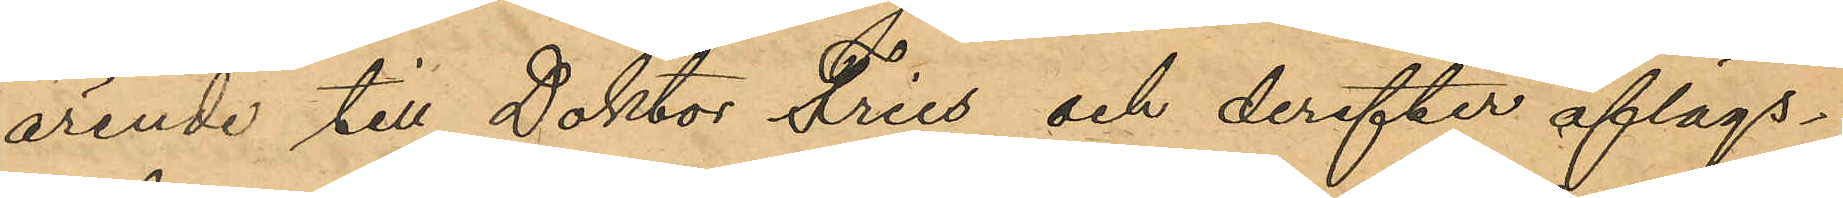ärende till Doktor Fries och derefter aflägs¬
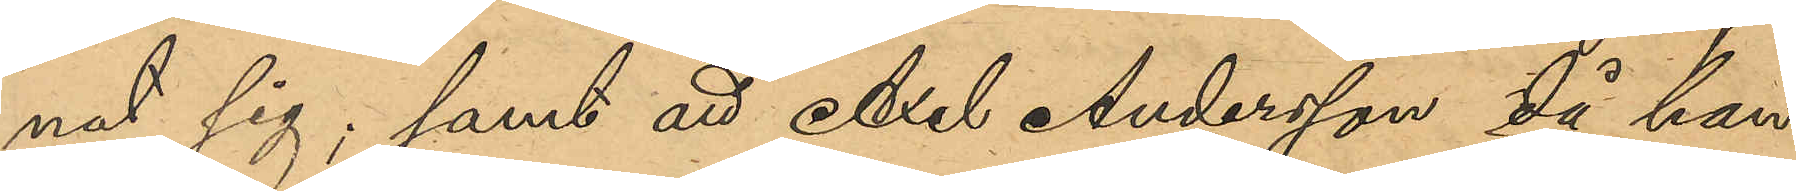nat sig; samt att Axel Andersson då han
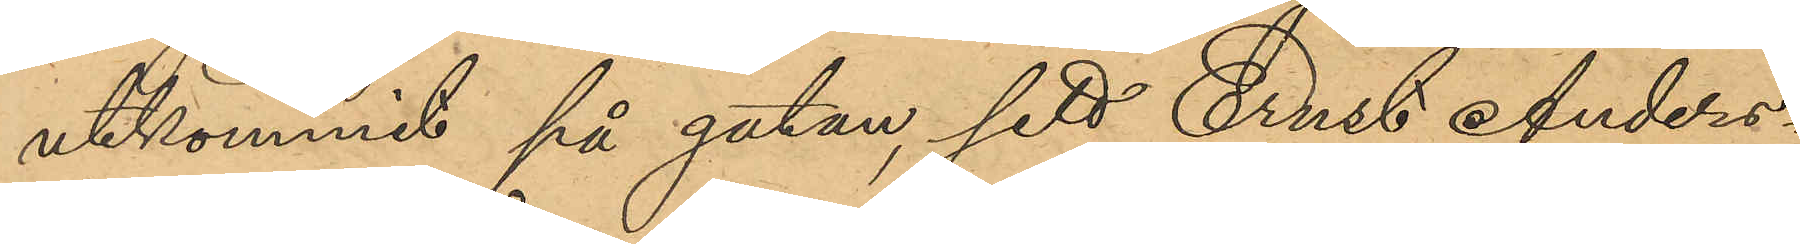utkommit på gatan, sedt Ernst Anders¬
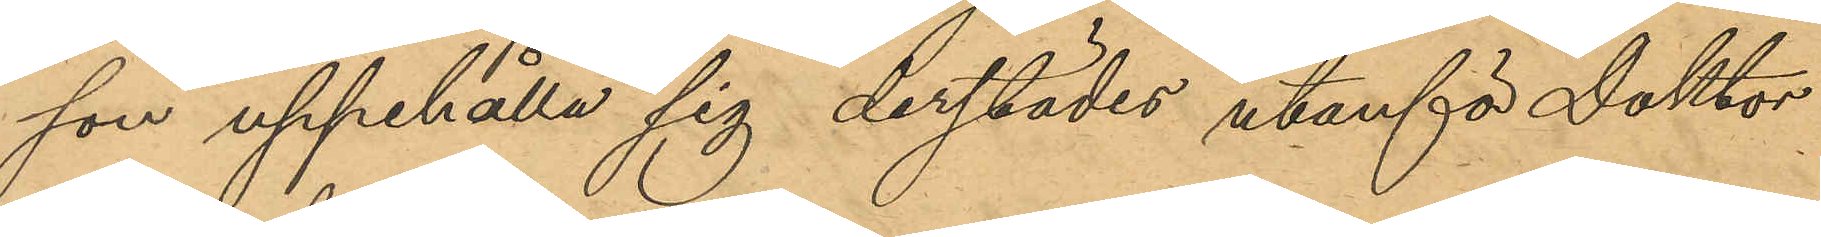son uppehålla sig derstädes utanför Doktor
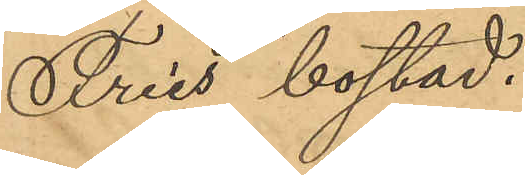Fries bostad.
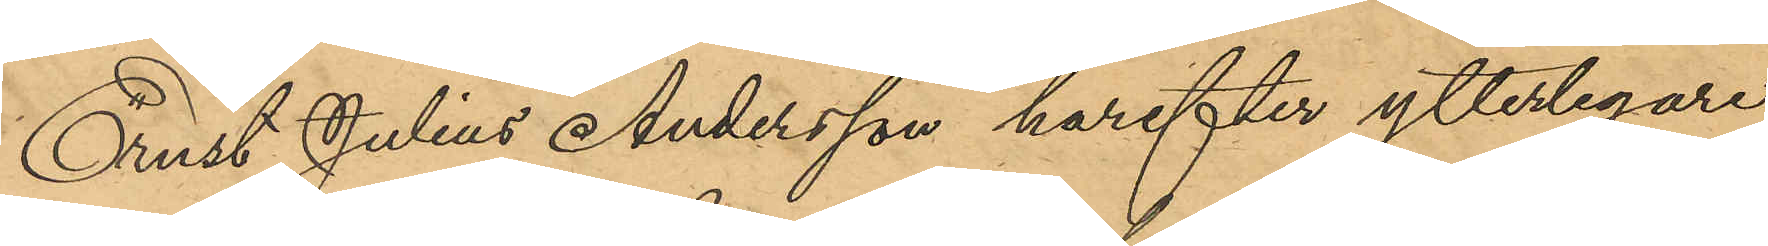Ernst Julius Andersson harefter ytterligare
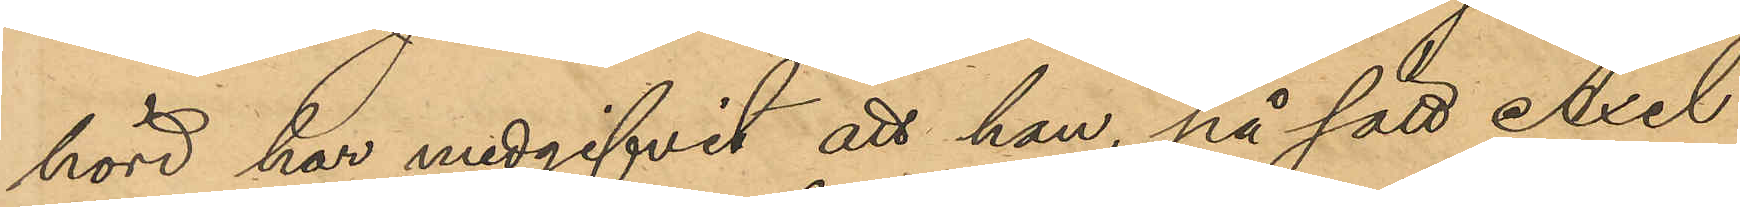hörd uppgifvit att han, på sätt Axel
